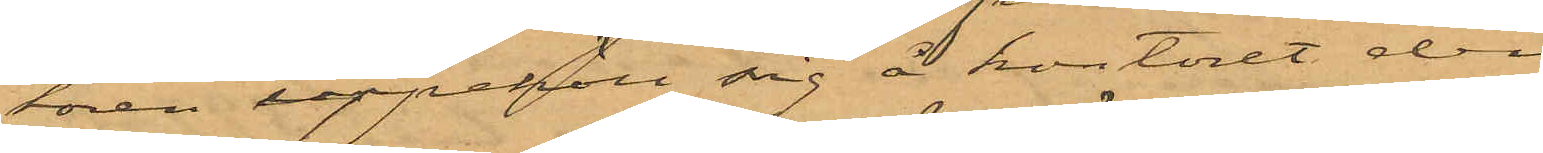tören uppehöll sig å kontoret den
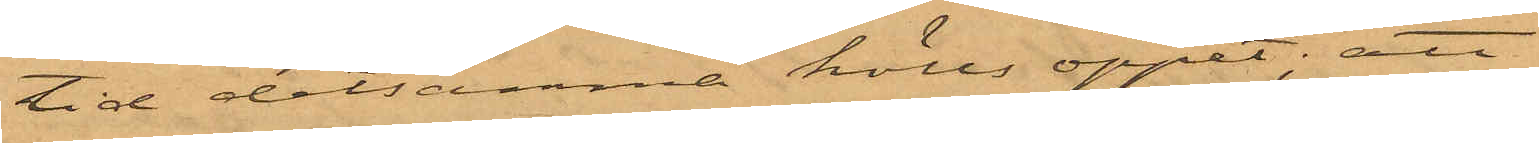tid detsamma hölls öppet; att
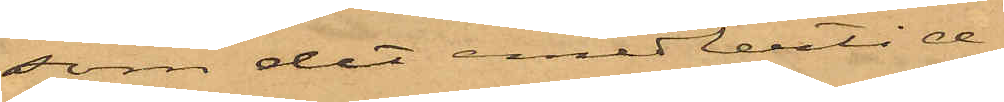som det medlertid
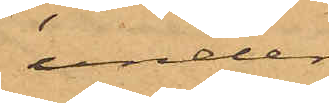under¬
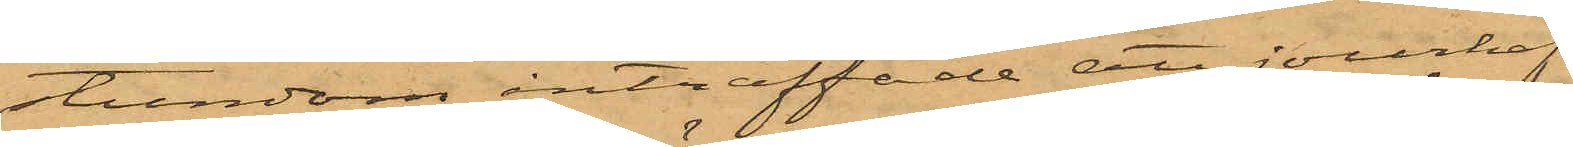stundom inträffade att jourhaf¬
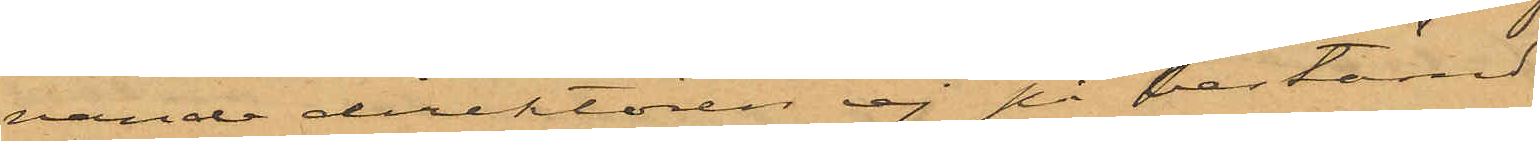vande direktören ej på bestämd
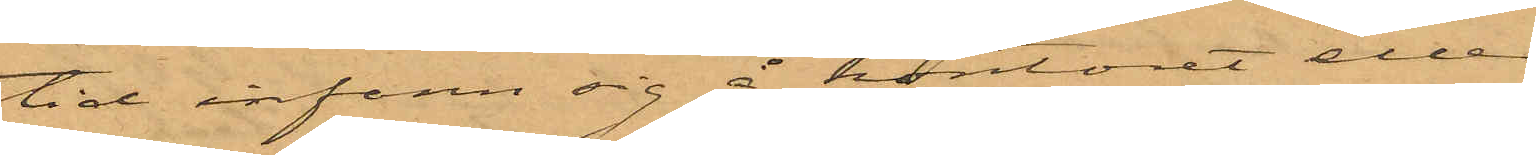tid infann sig å kontoret eller
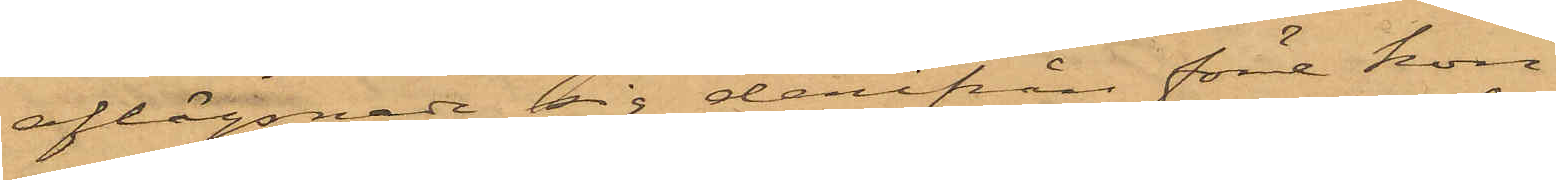aflägsnade sig derifrån före kon¬
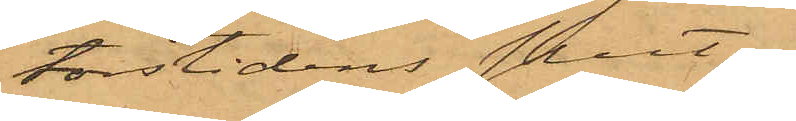torstidens slut,
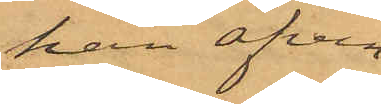han äfven
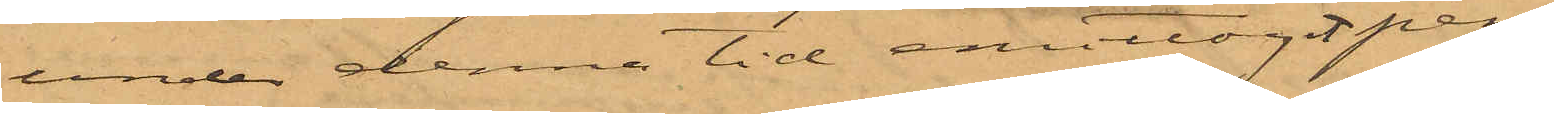under denna tid emottagit pen¬
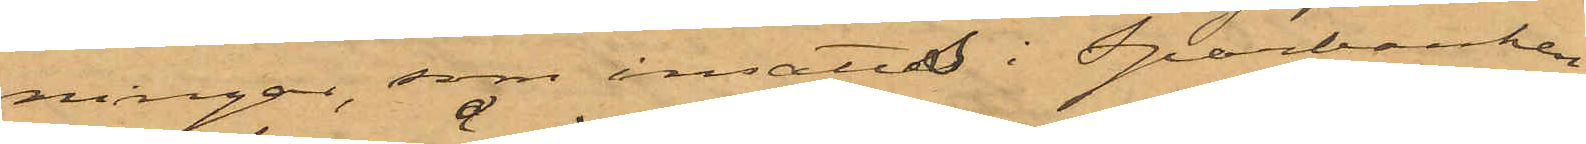ningar, som insatts i Sparbanken,
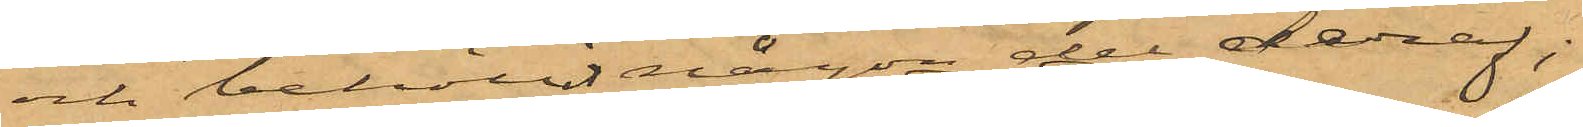och behållit någon del deraf;
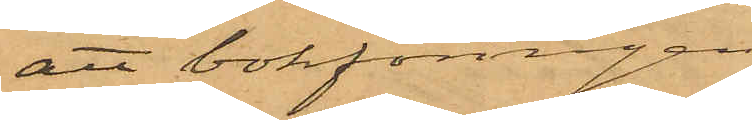att bokföringen
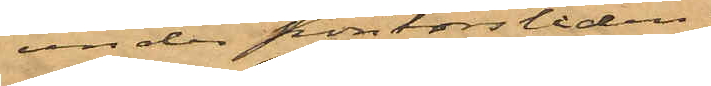under kontorstiden
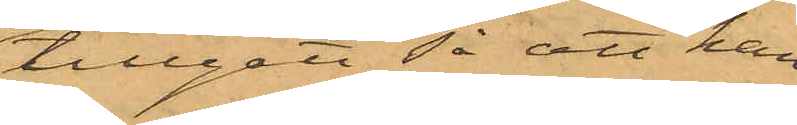tillgått så att han
